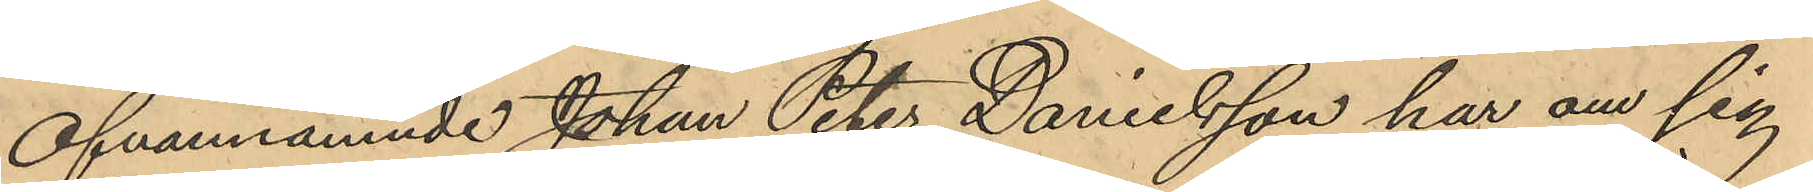Ofvannämnde Johan Peter Danielsson har om sig
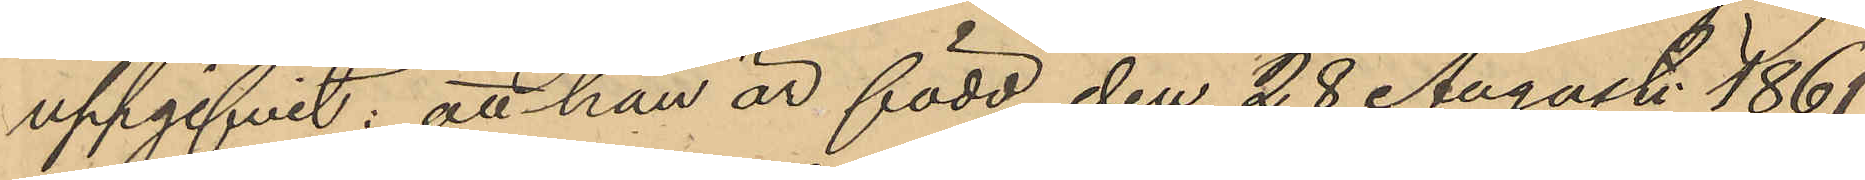uppgifvit: att han är född den 28 Augusti 1861,
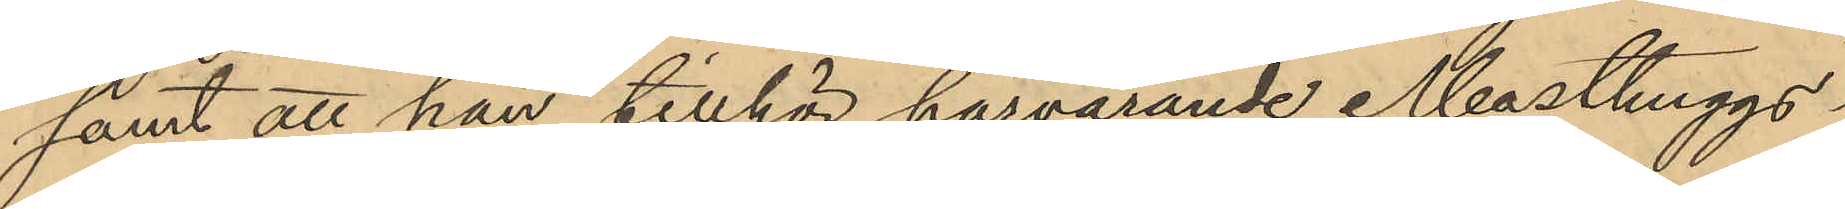samt att han tillhör härvarande Masthuggs¬
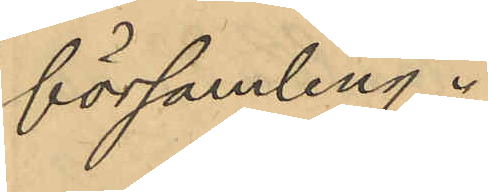församling.
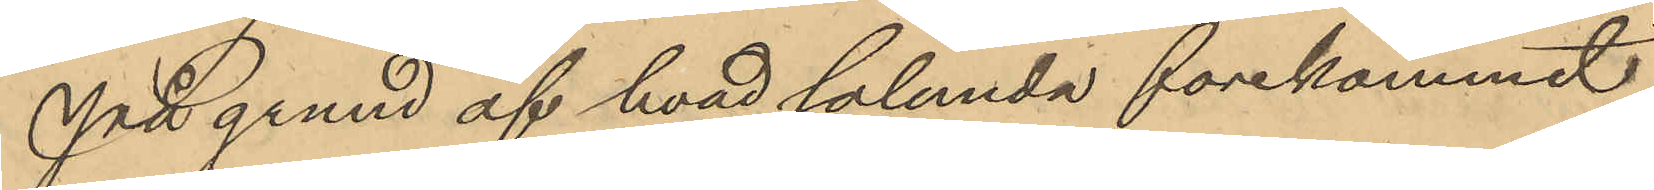På grund af hvad sålunda förekommit
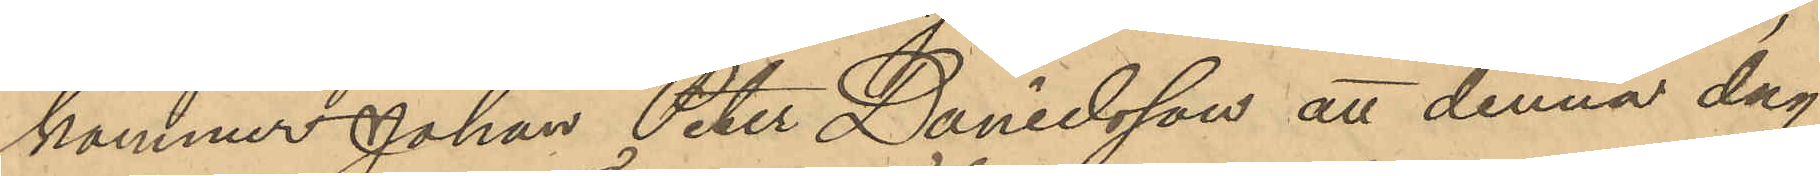kommer Johan Peter Danielsson att denna dag
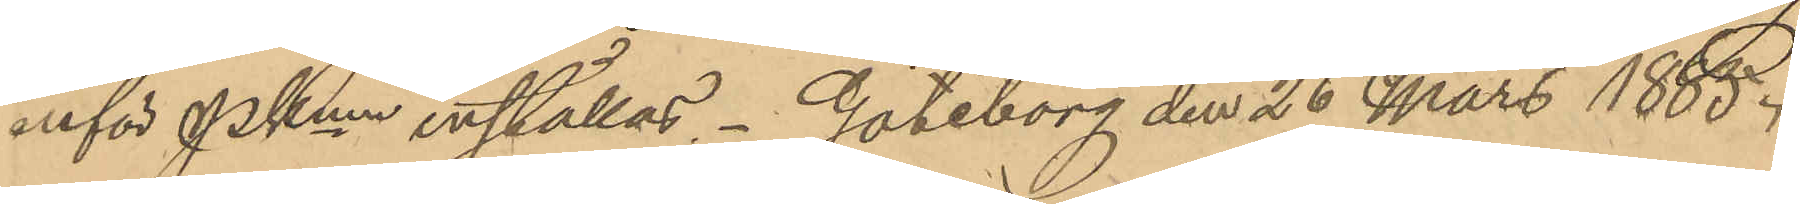inför PKmn inställas. Göteborg den 26 Mars 1885.
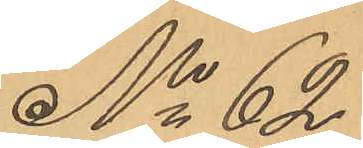No 62
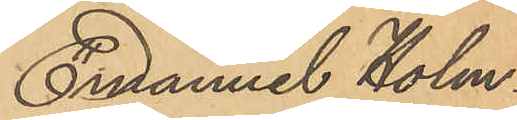Emanuel Holm¬
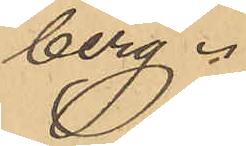berg.
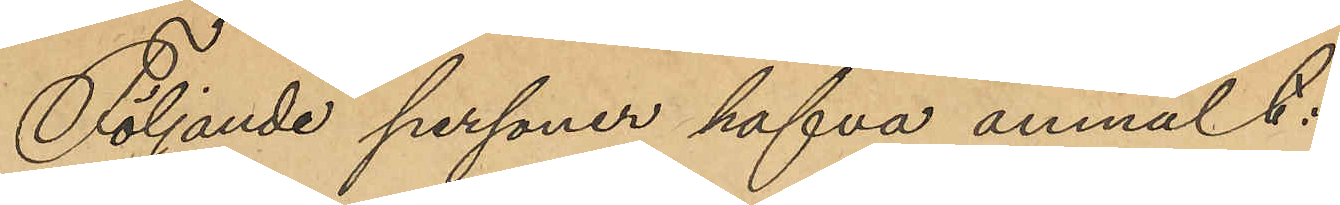Följande personer hafva anmält:
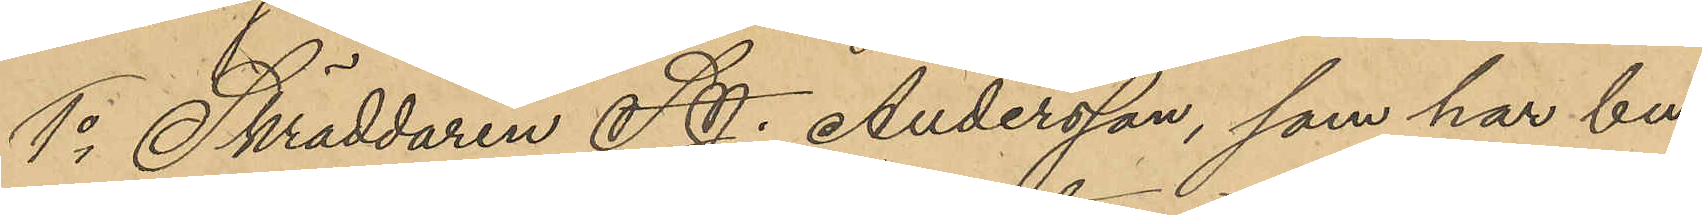1o Skräddaren S. J. Andersson, som har bu¬
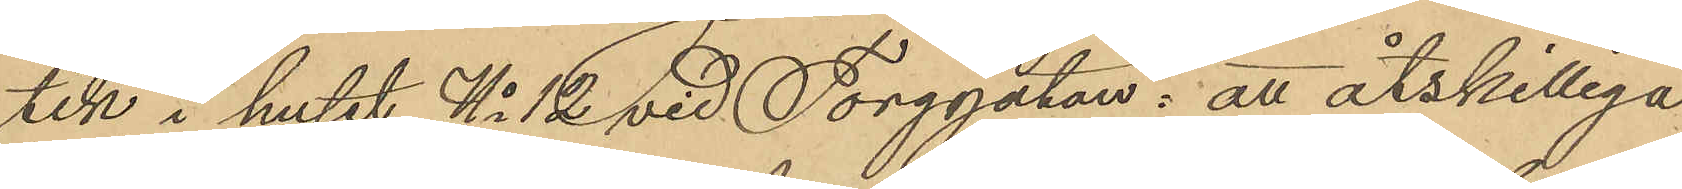tik i huset No 12 vid Torggatan: att åtskilliga
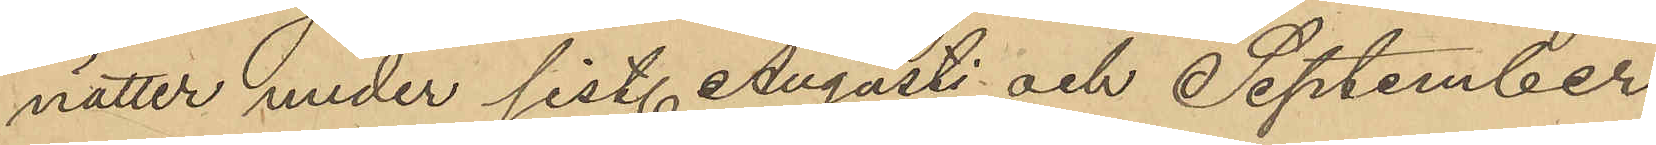nätter under sist. Augusti och September
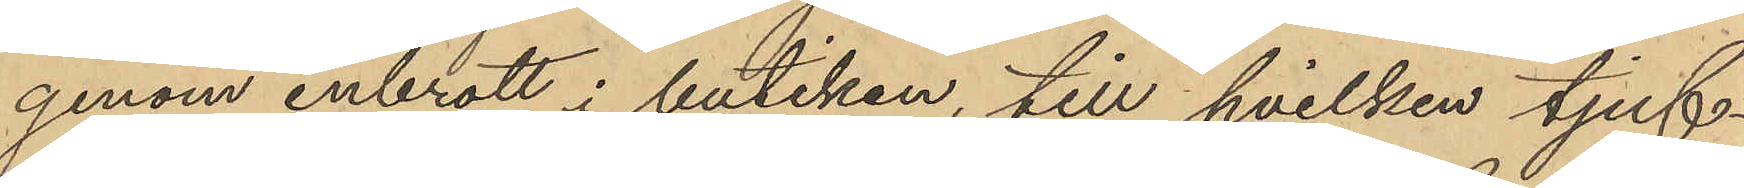genom inbrott i butiken, till hvilken tjuf¬
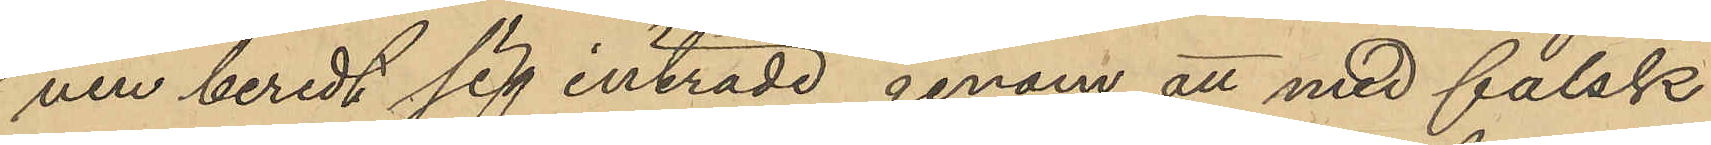ven beredt sig inträde genom att med falsk
